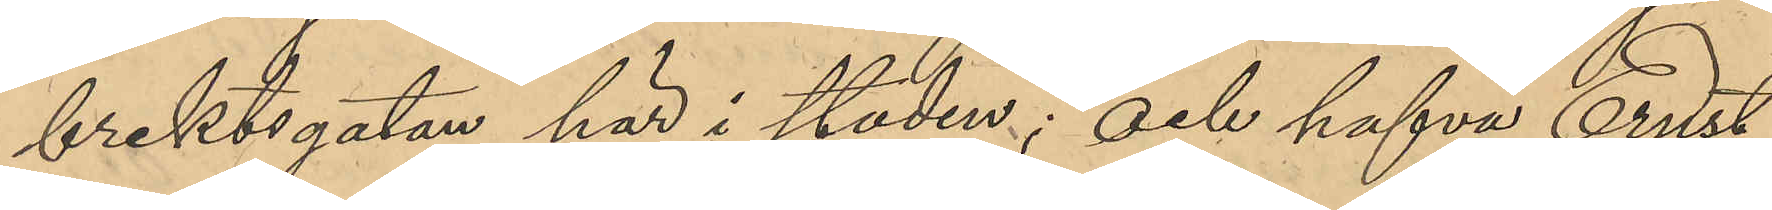brektsgatan här i staden; och hafva Ernst
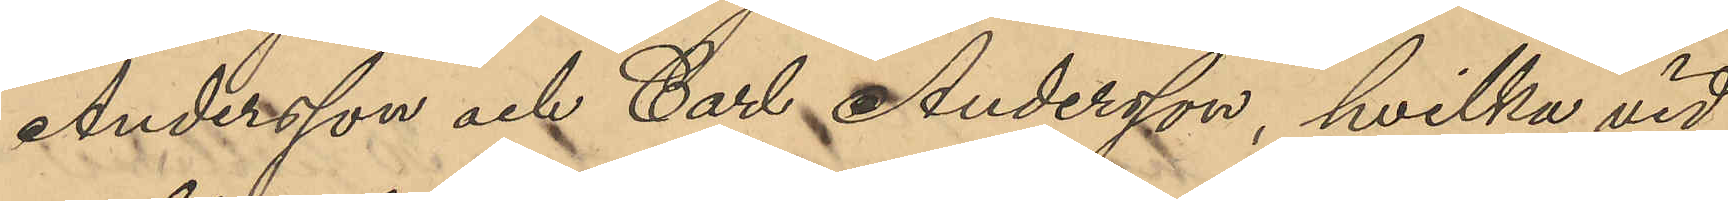Andersson och Carl Andersson, hvilka vid
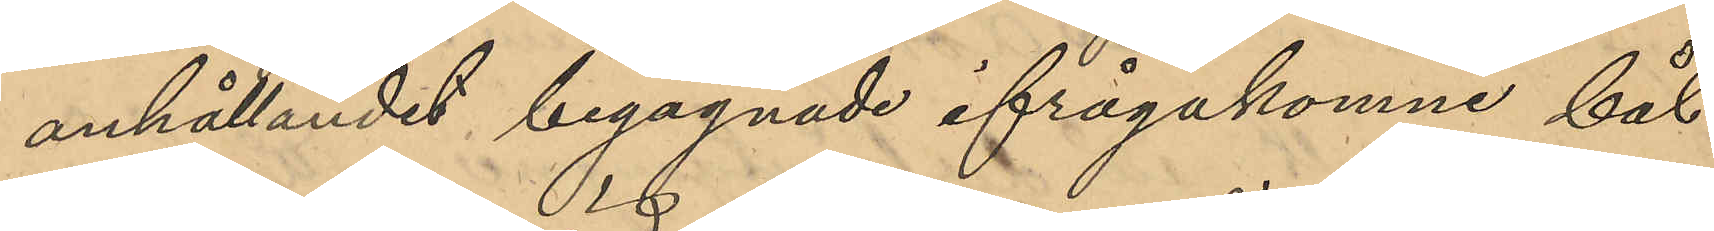anhållandet begagnade ifrågakomne båt
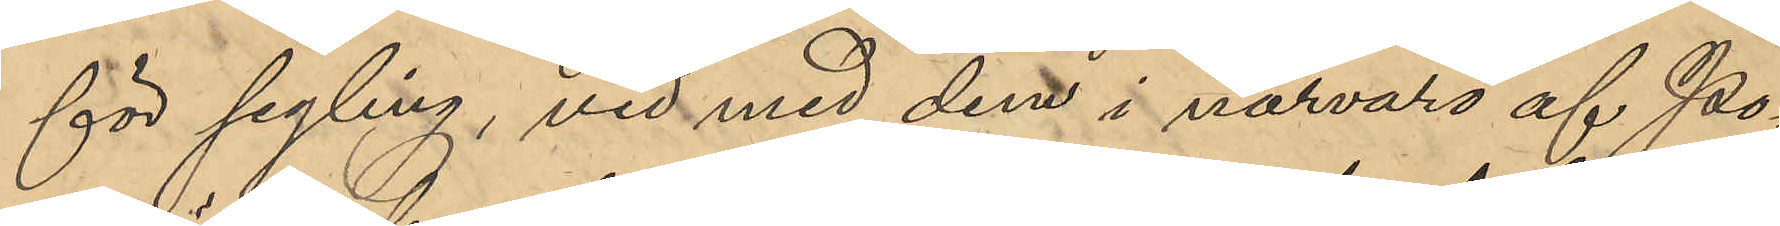för segling, vid med dem i närvaro af Po¬
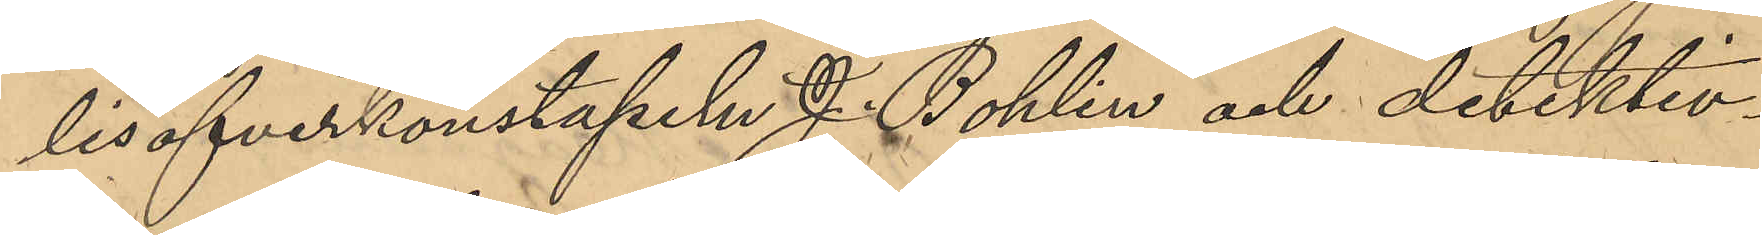lisöfverkonstapeln J. Bohlin och detektiv¬
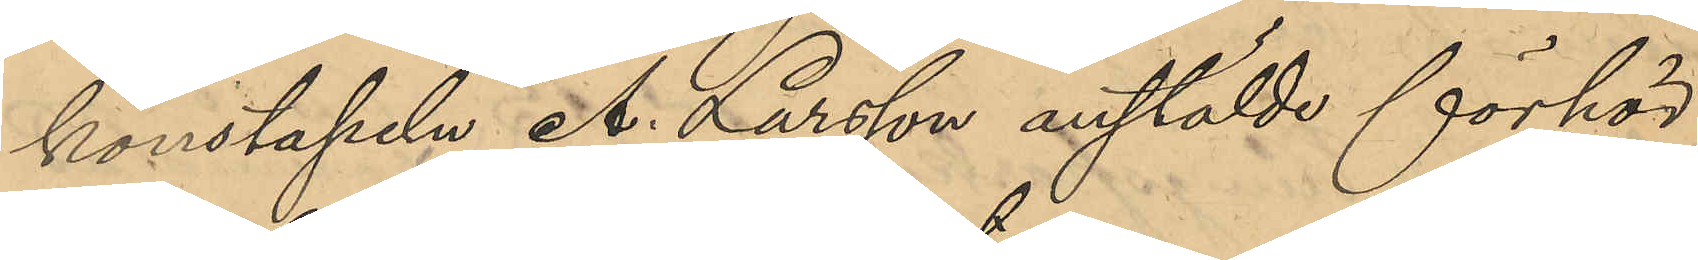konstapeln A. Larsson anstälde förhör
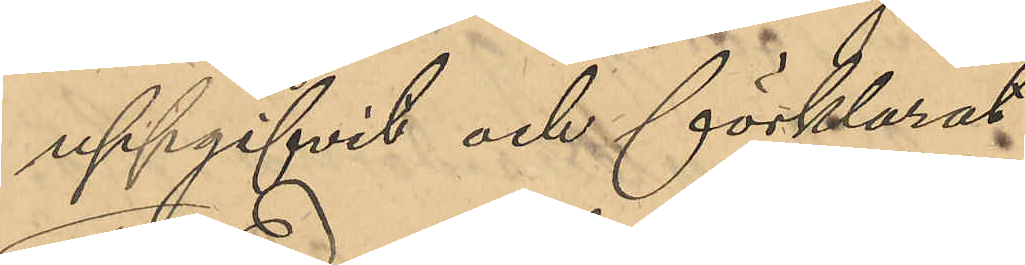uppgifvit och förklarat:
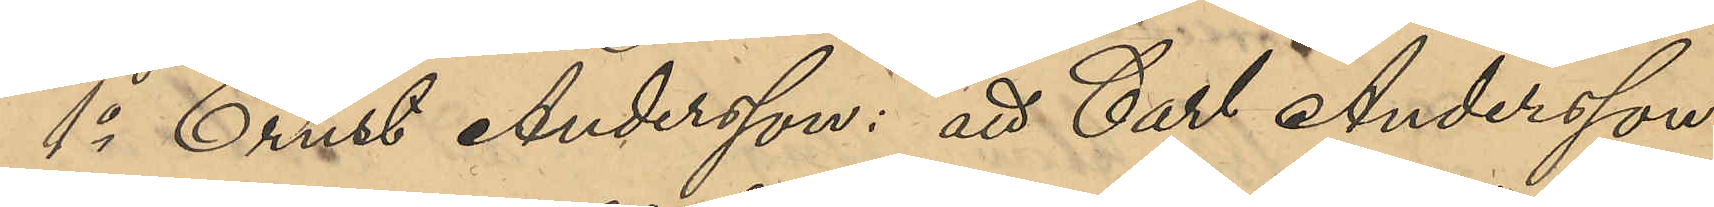1o Ernst Andersson: att Carl Andersson
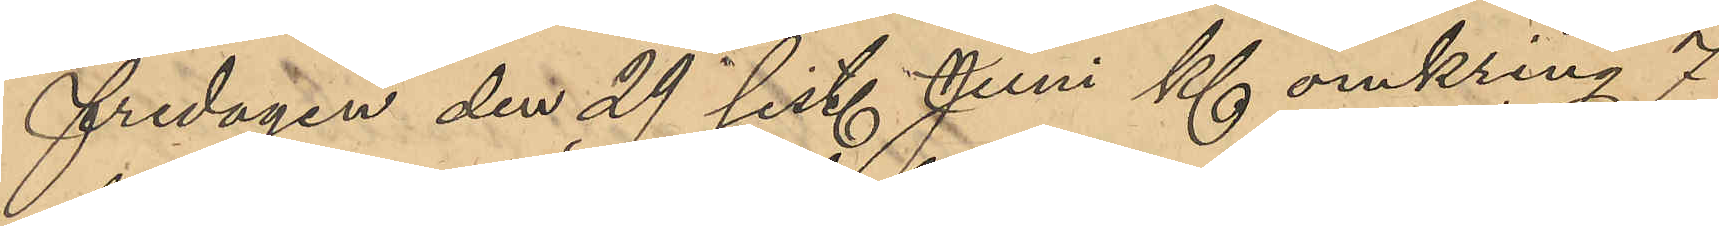fredagen den 29 sist. Juni Kl omkring 7
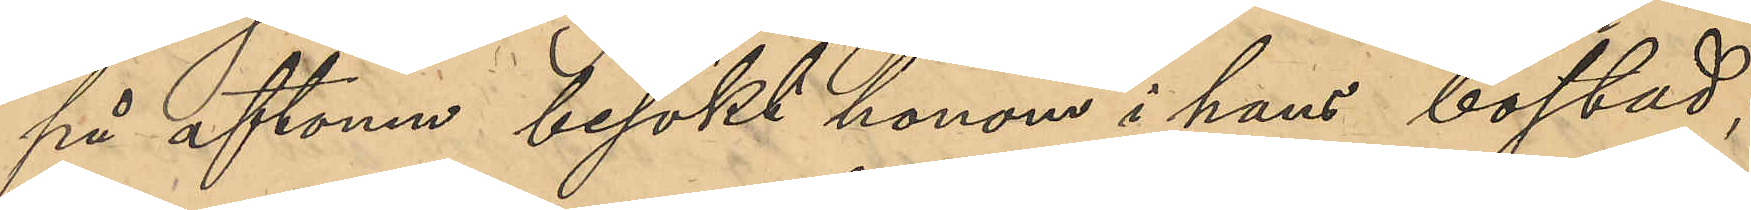på aftonen besökt honom i hans bostad; 
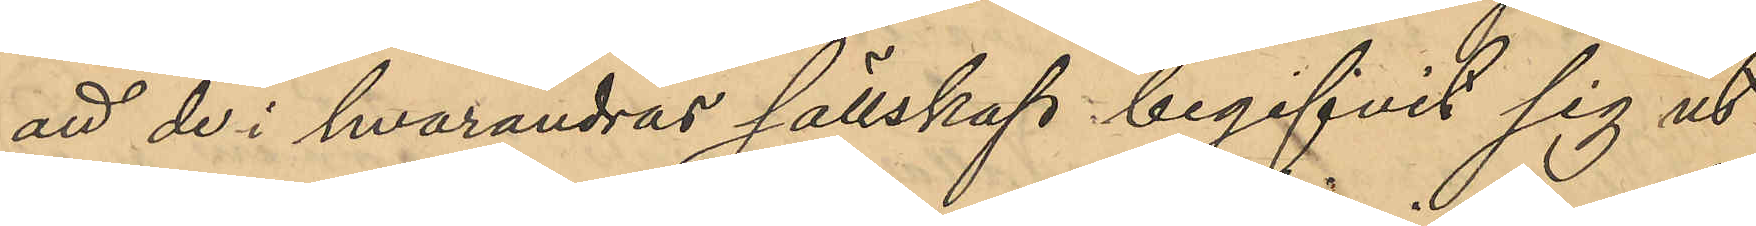att de i hvarandras sällskap begifvit sig ut
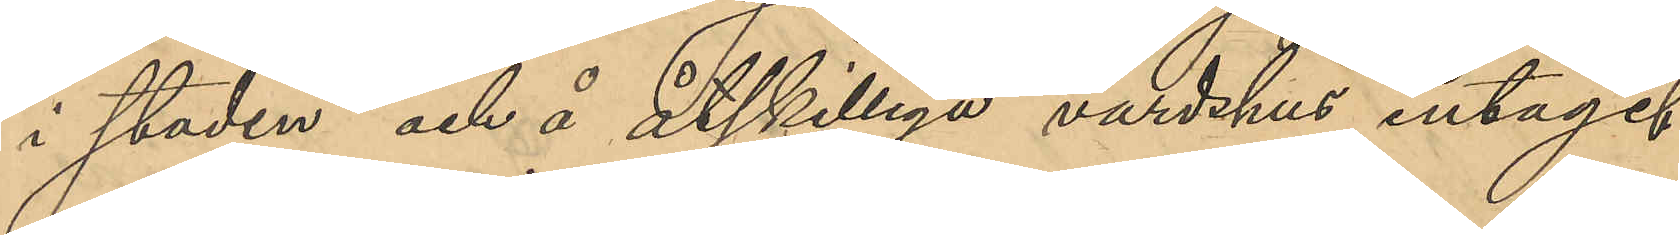i staden och å åtskilliga värdshus intagit
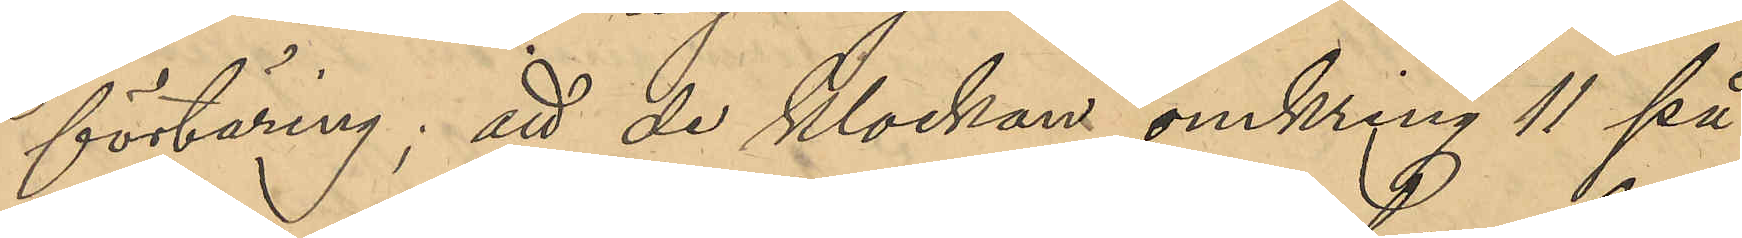förtäring; att de Klockan omkring 11 på
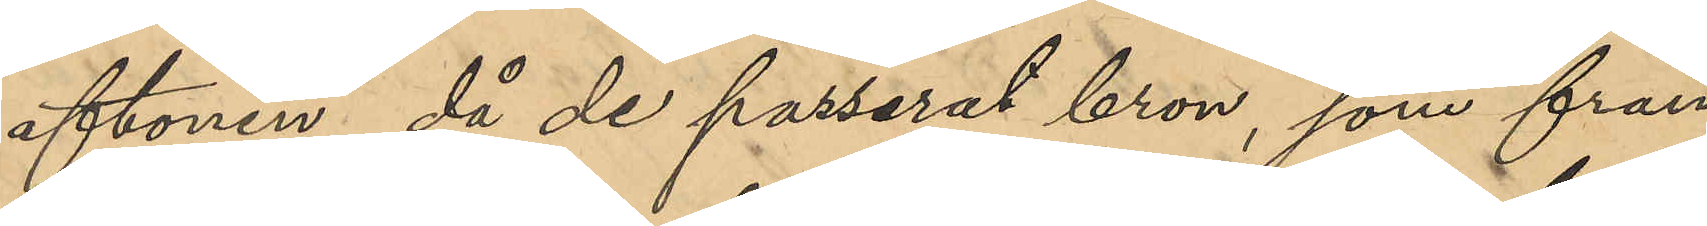aftonen, då de passerat bron, som från
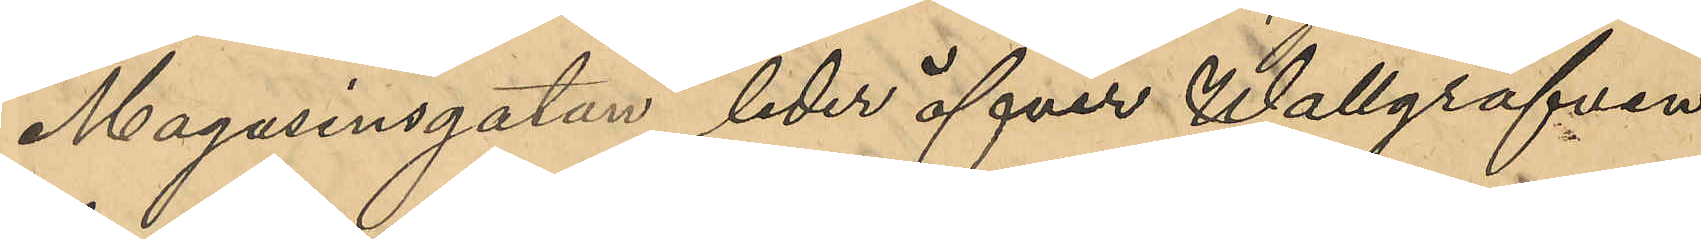Magasinsgatan leder öfver Wallgrafven
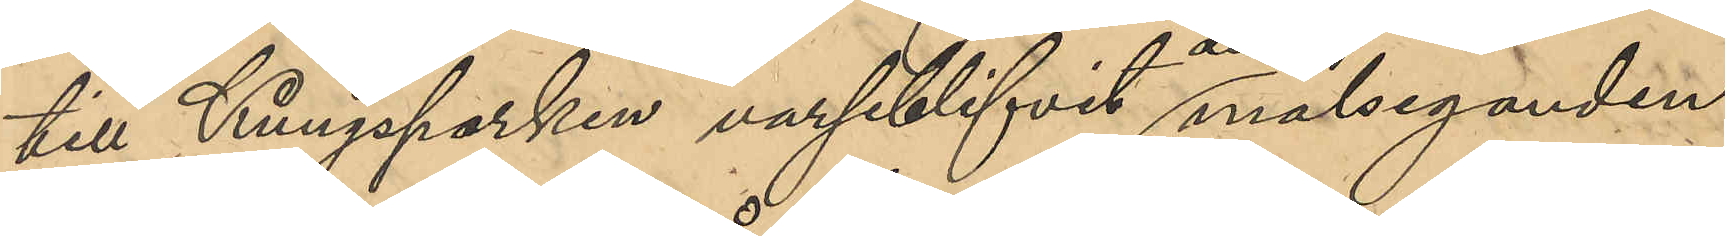till Kungsparken varseblifvit den målseganden
